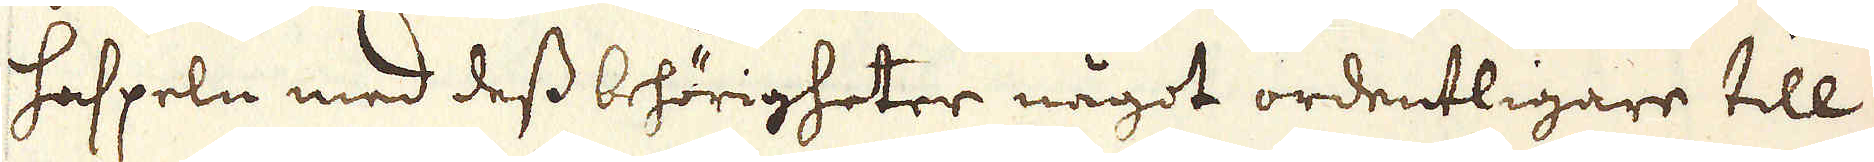haspeln med dess behörigheter något ordentligare till
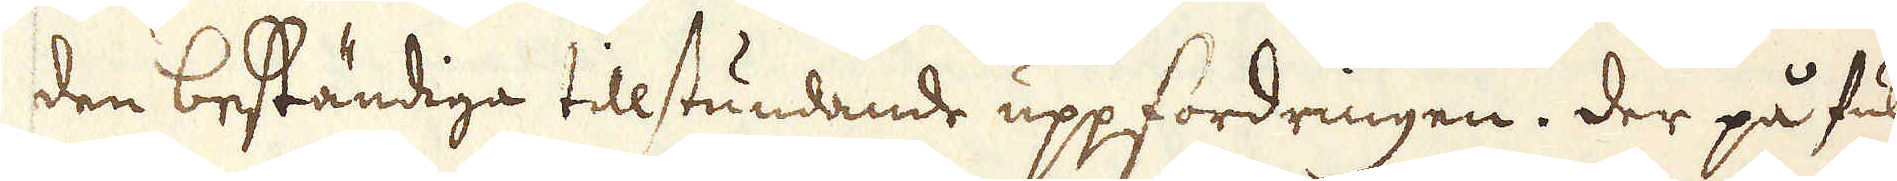den beständiga tillstundande uppfordringen. Der på full-
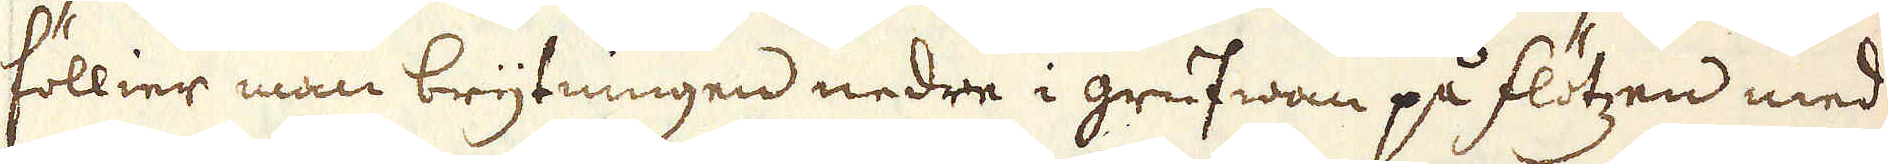föllier man brytningen nedre i grufwan på flötzen med
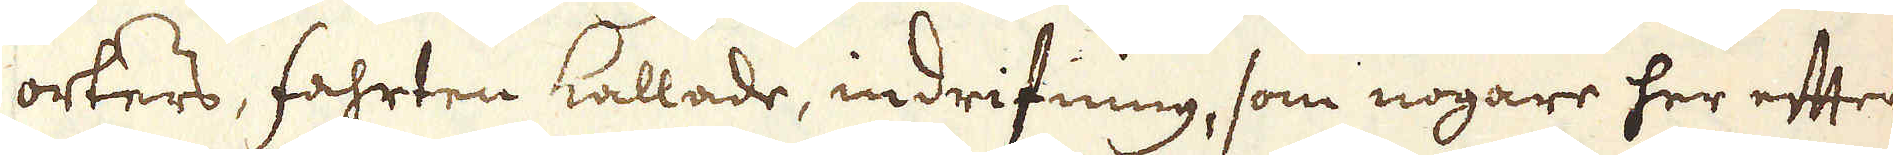orters, fahrten kallade, indrifning, som nogare her efter
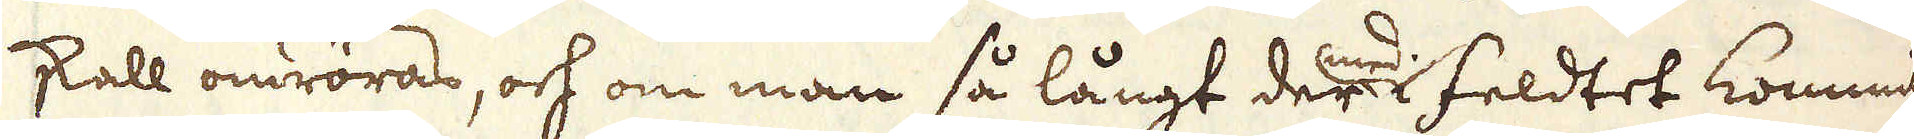skall omröras, och om man så långt der med i feldtet kommit
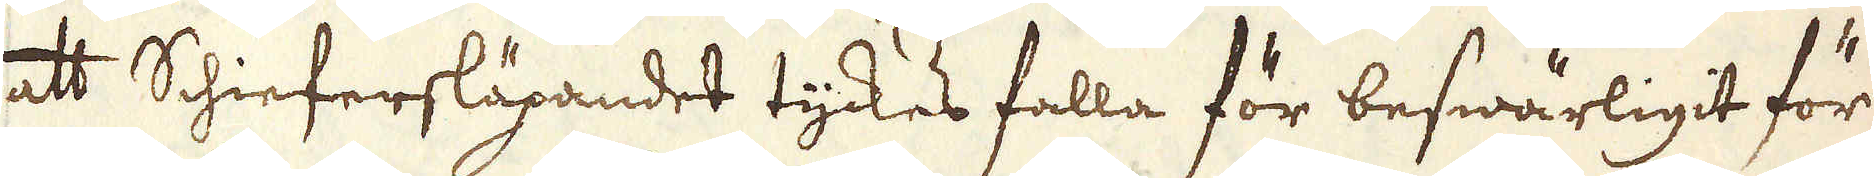att Schiefersläpandet tyckes falla för beswärligit för
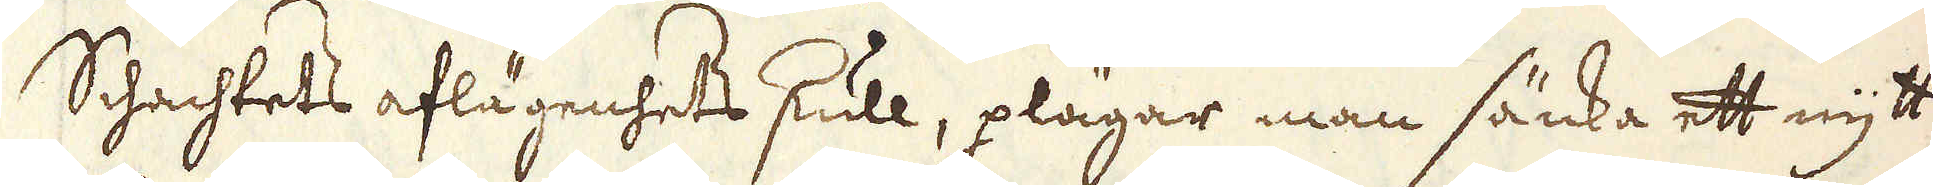Schachtets aflägenhets skull, plägar man sänka ett nytt
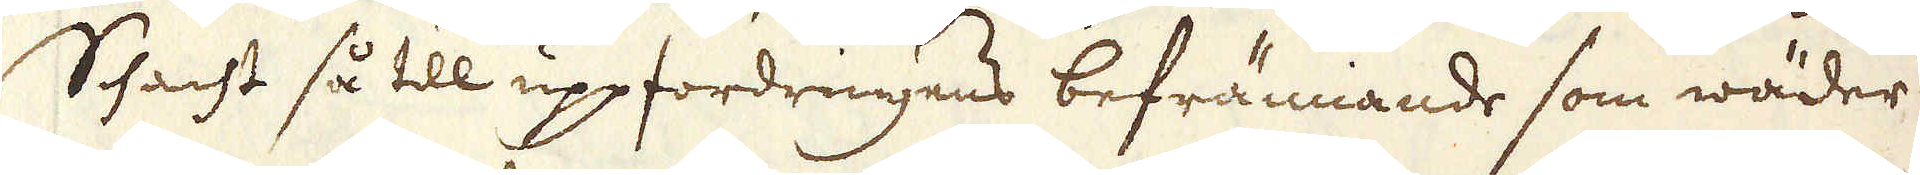Schacht så till uppfordringens befrämiande som wäder-
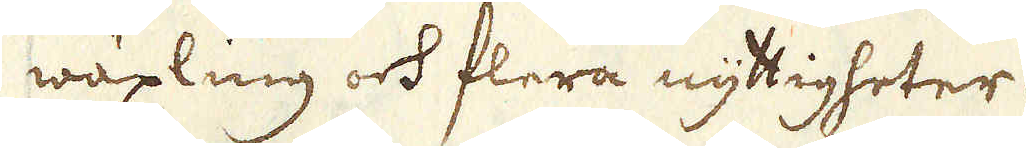wäxling och flera nyttigheter.
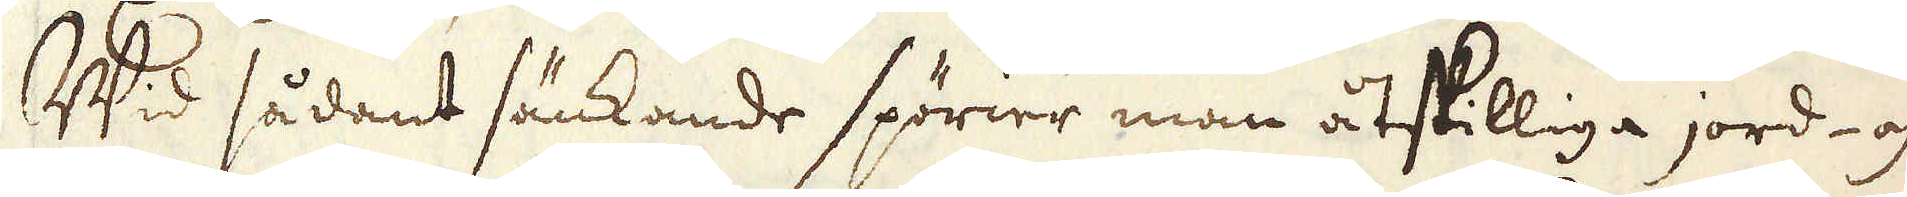Wid sådant sänkande spörier man åtskilliga jord- och
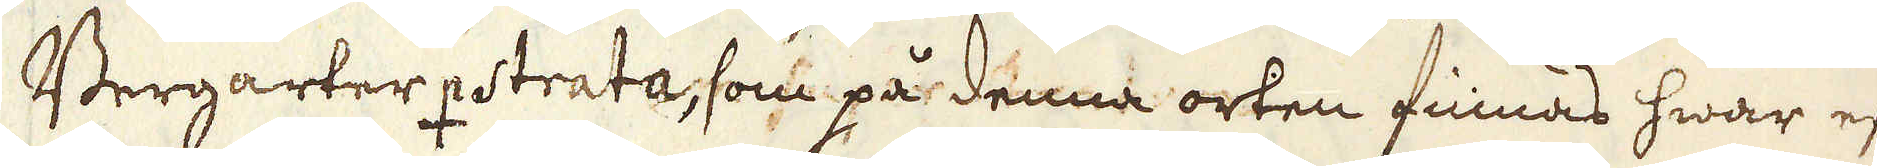Bergarter ♀strata, som på denna orten finnas hwar efter
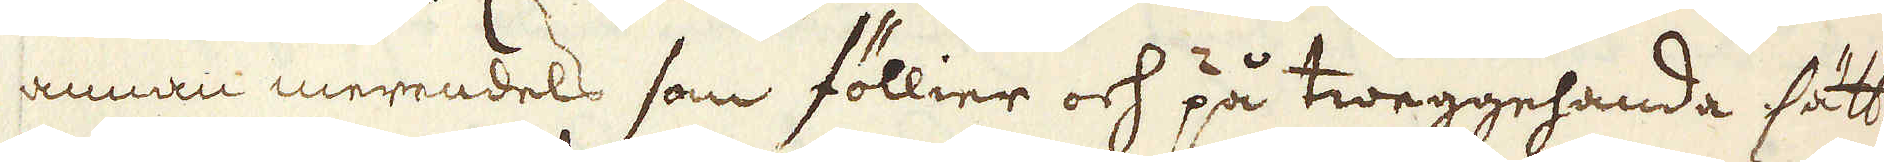annan merendels som föllier och på tweggehanda sätt
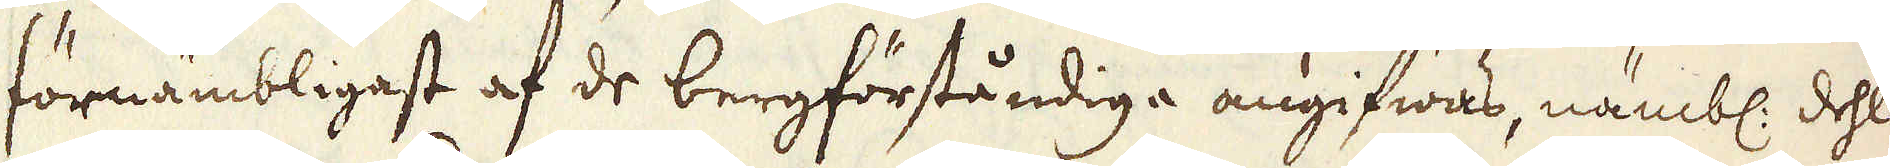förnämbligast af de bergförståndiga angifwas, nämbl. dehls
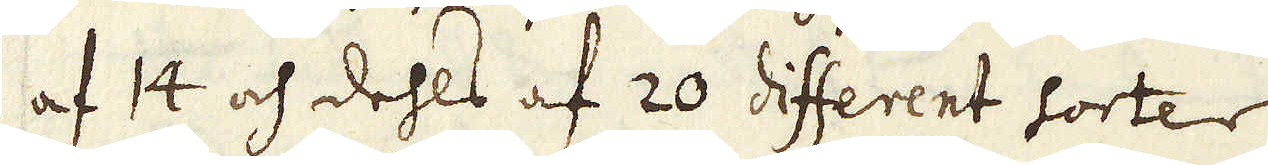af 14 och dehls af 20 different sorter.
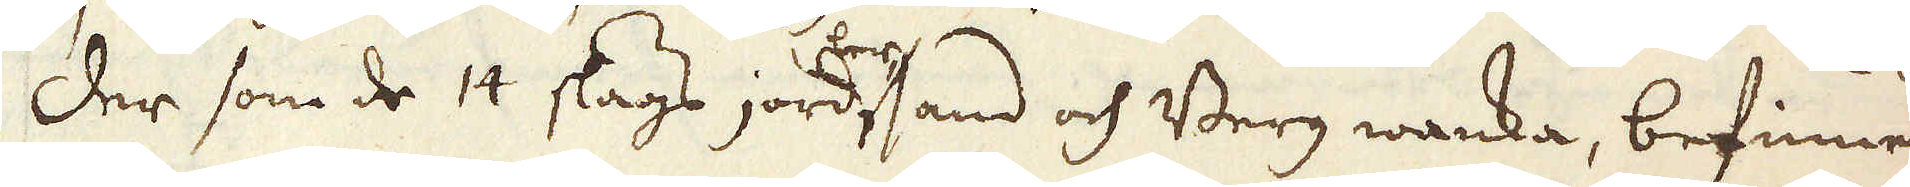Der som de 14 slags jord, ler, sand och Berg wanka, befinnes
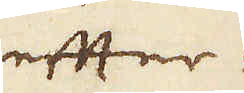efter-
